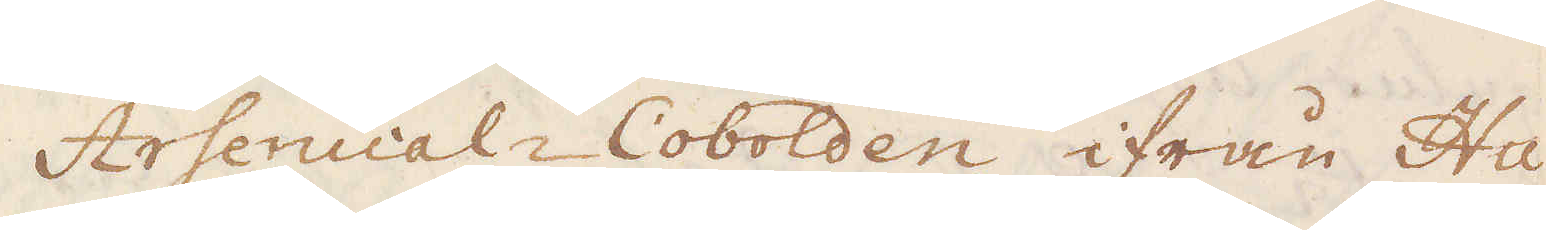Arsenical-Cobolden ifrån Hu-
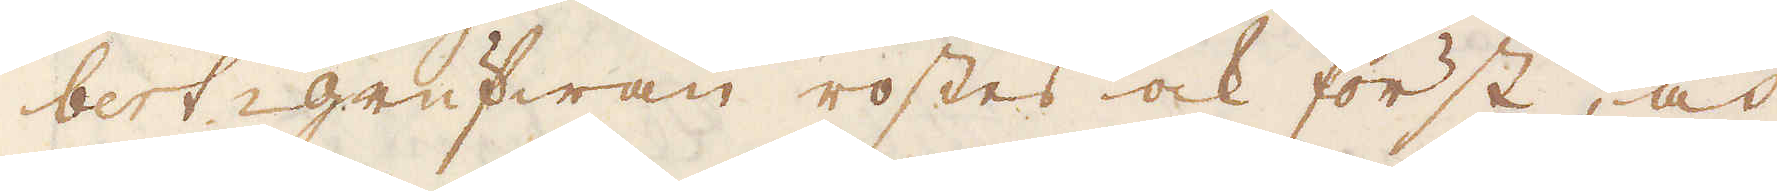bert-grufwan rostes ock först, och
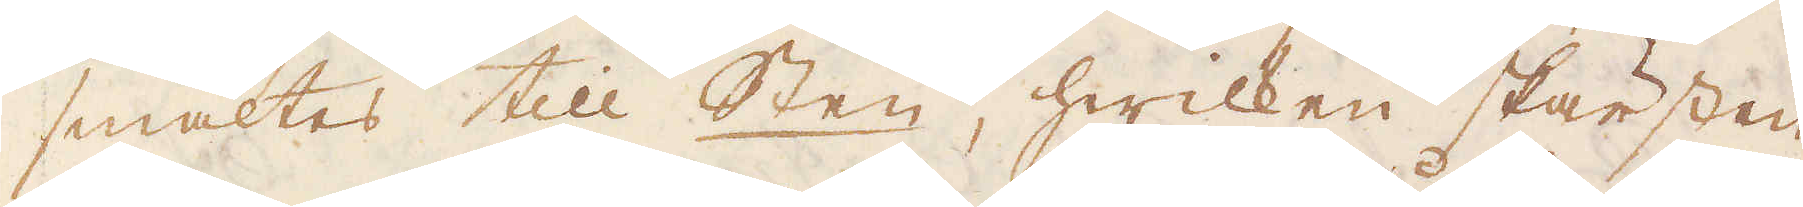smältes till Sten, hwilken skärsten
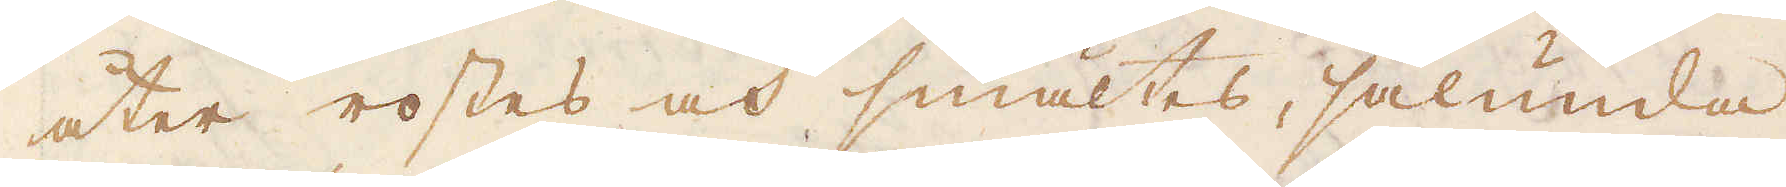åter rostes och smältes, sålunda
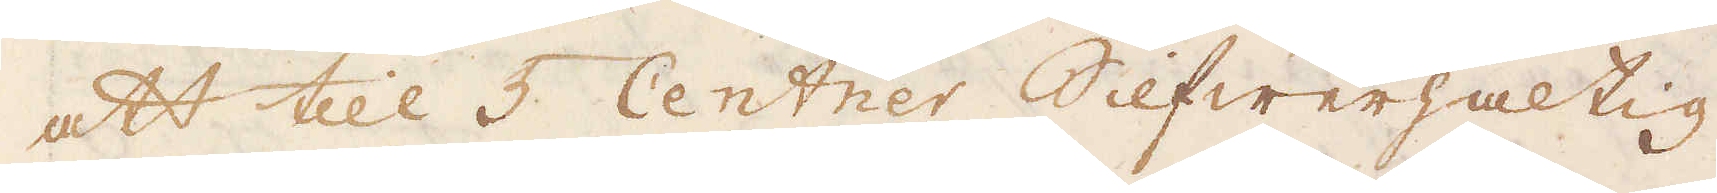att till 5 Centner Silfwerhaltig
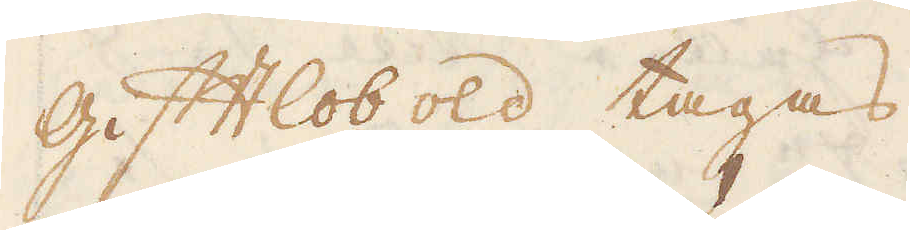gift Cobold tagas
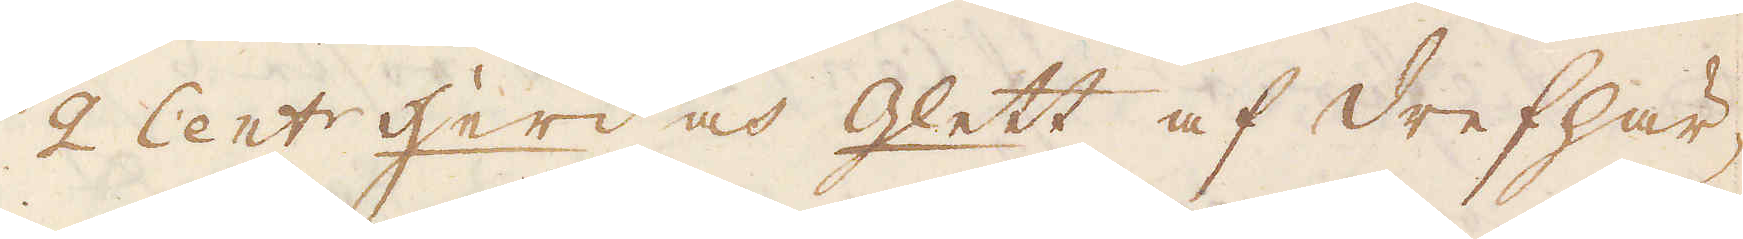2 Cent:r Herd och Glett af Drefhär-
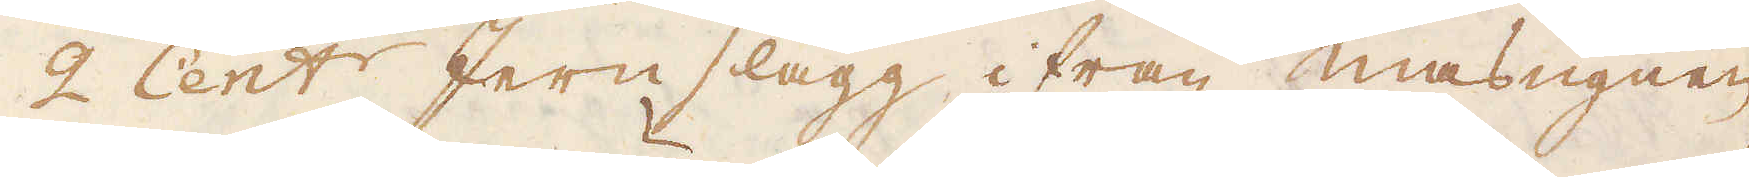2 Cent:r Jern slagg ifrån masugnen,
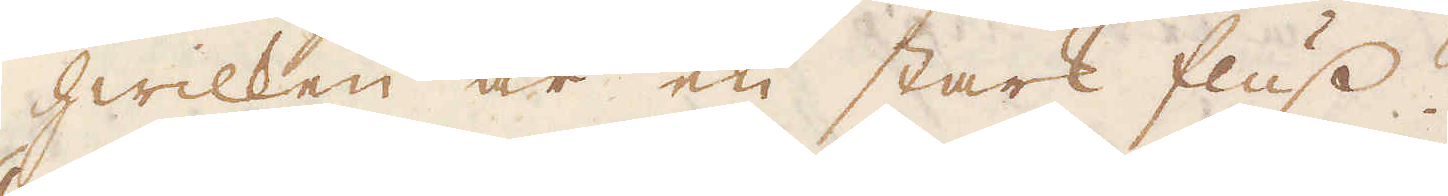hwilken är en stark fluss.
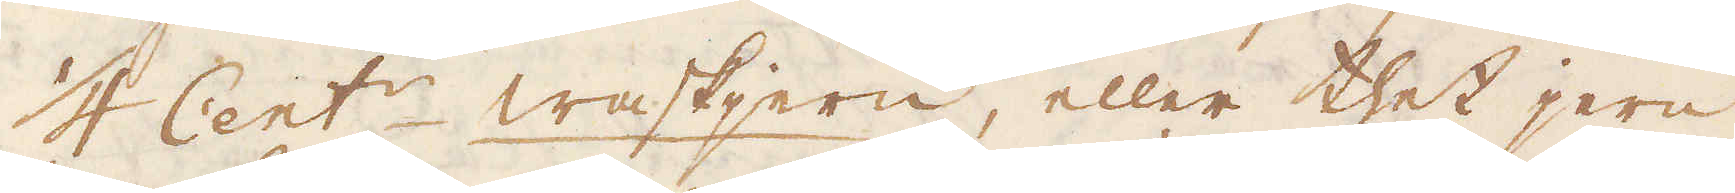1/4 Cent:r waskjern, eller thet jern,
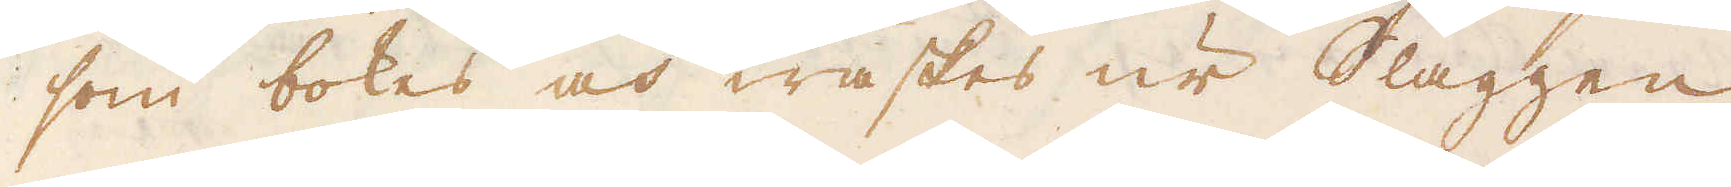som bokes och waskes ur Slaggen
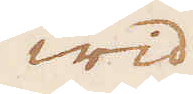wid
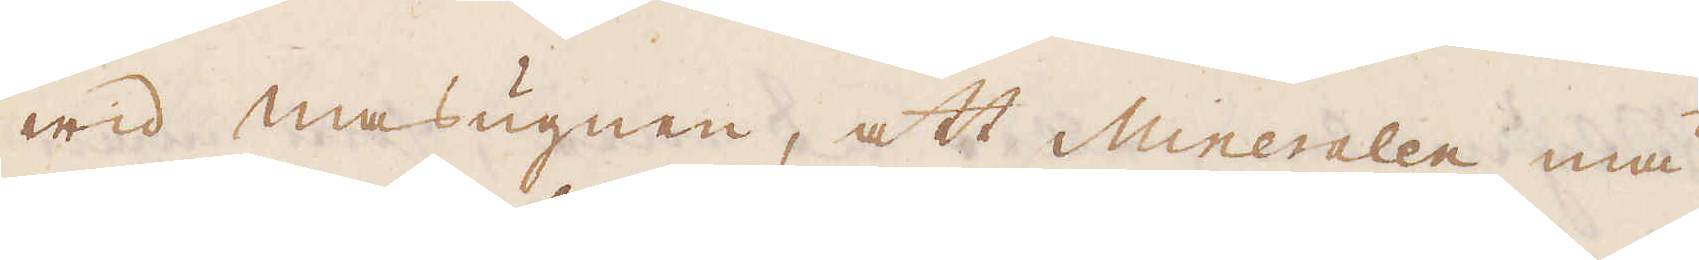wid masugnen, att Mineralen må
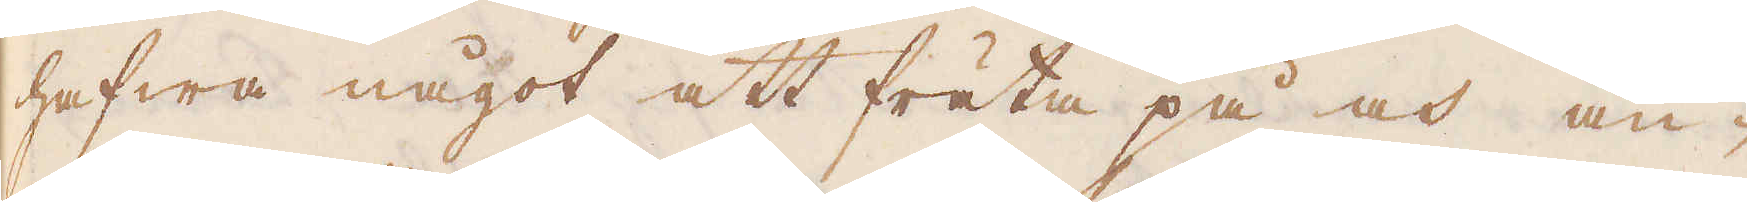hafwa något att fräta på och an-
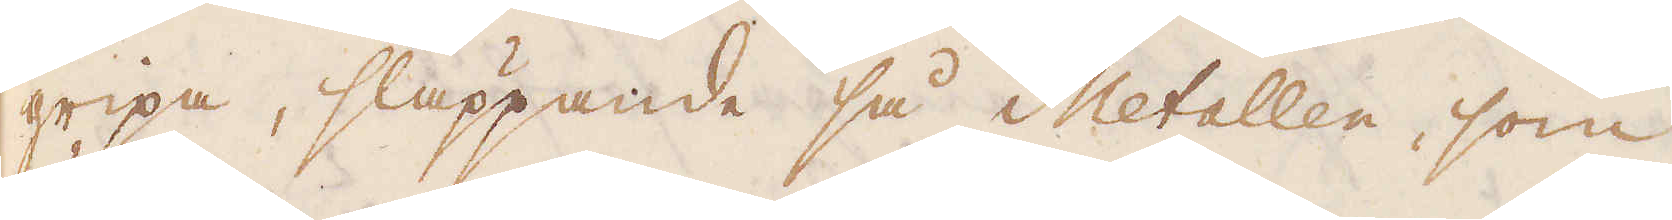gripa, släppande så Metallen, som
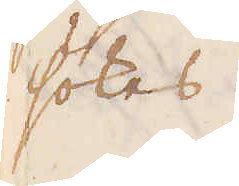sökes.
